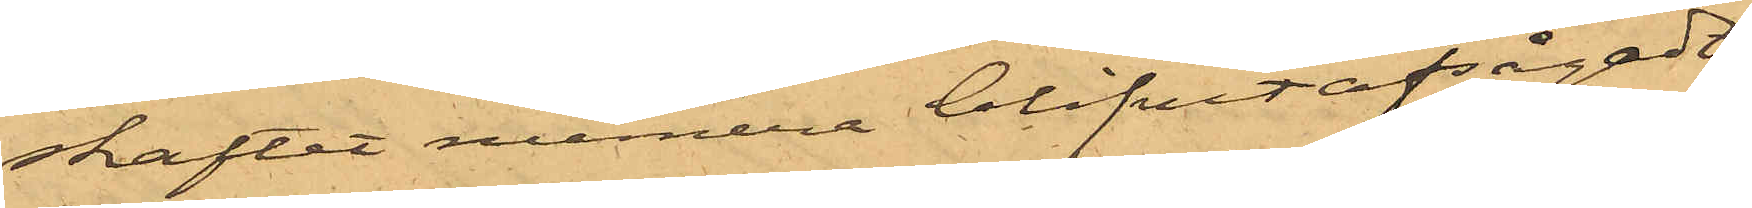skaftet numera blifvit afsågadt
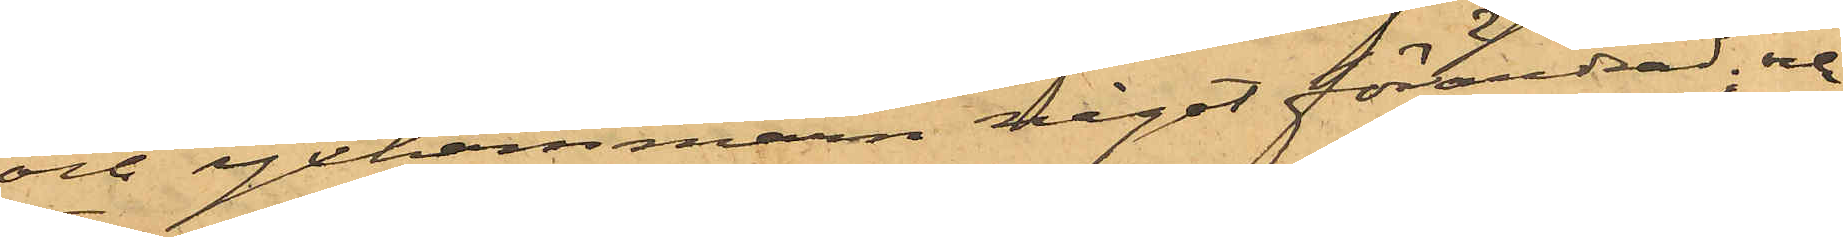och yxhammarn något förändrad; och
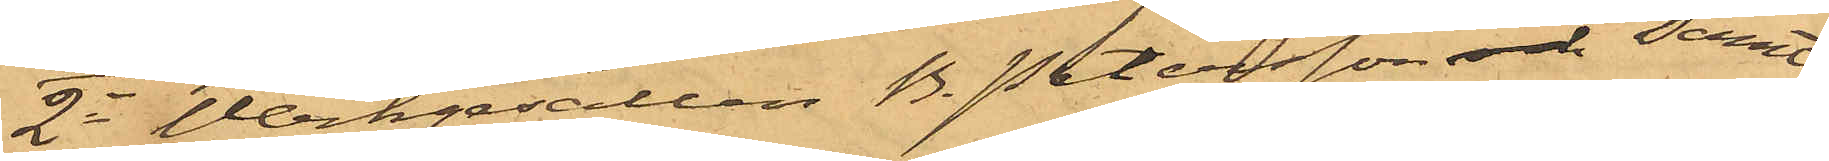2o Werkgesällen B. Petersson och samt
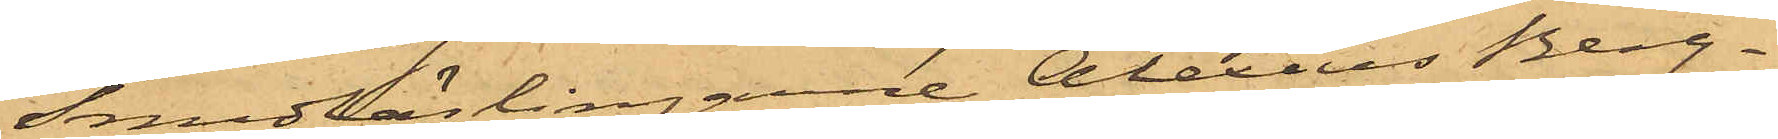Smedlärlingarne Alexius Berg¬
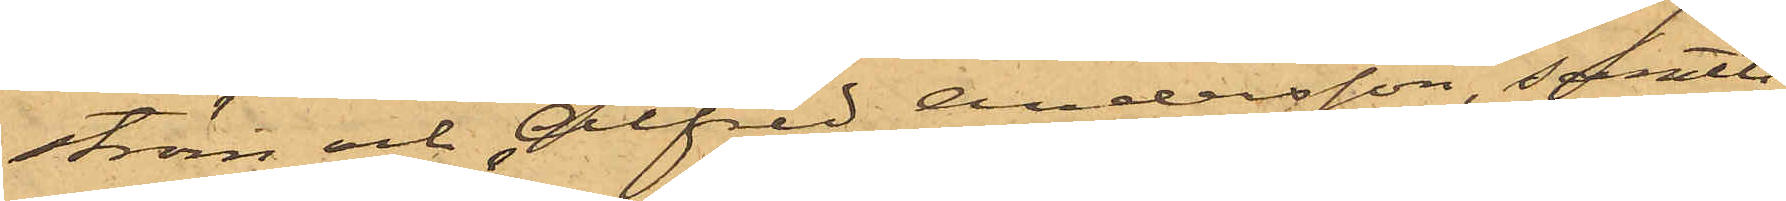ström och Alfred Andersson, samtli¬
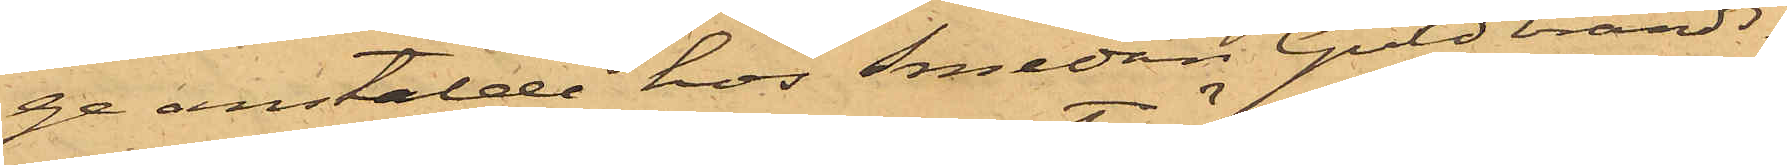ge anstälde hos Smeden Guldbrands¬
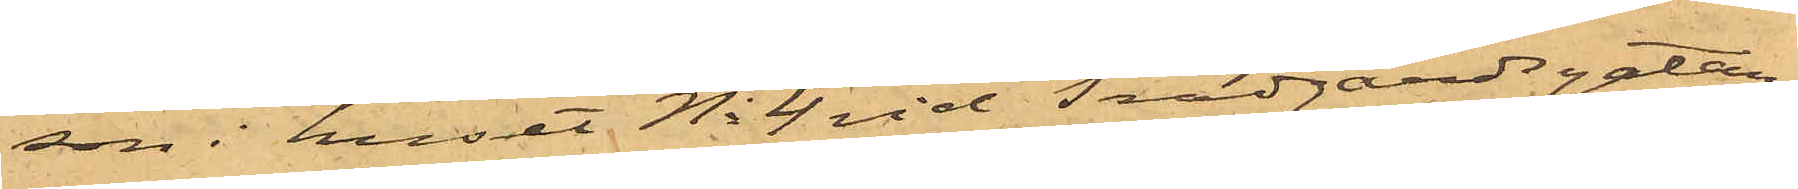son i huset No 4 vid Trädgårdsgatan,
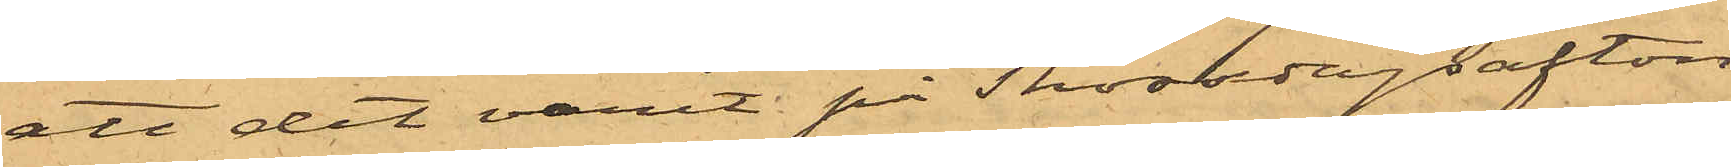att det varit på Thorsdagsafton
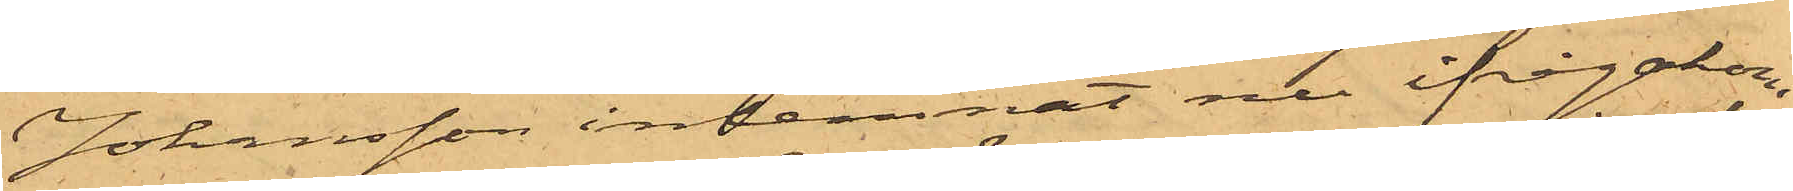Johansson inlemnat nu ifrågakom¬
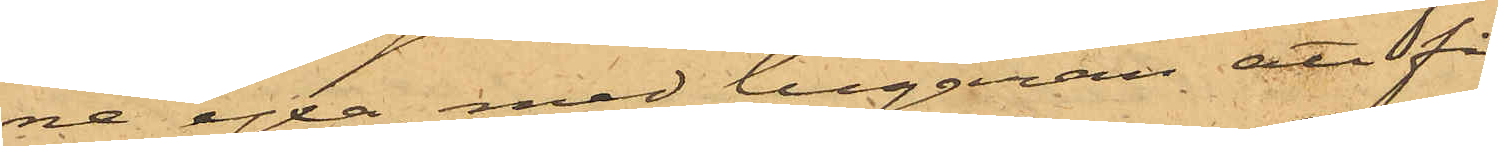ne yxa, med begäran att få
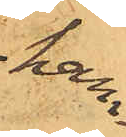ham¬
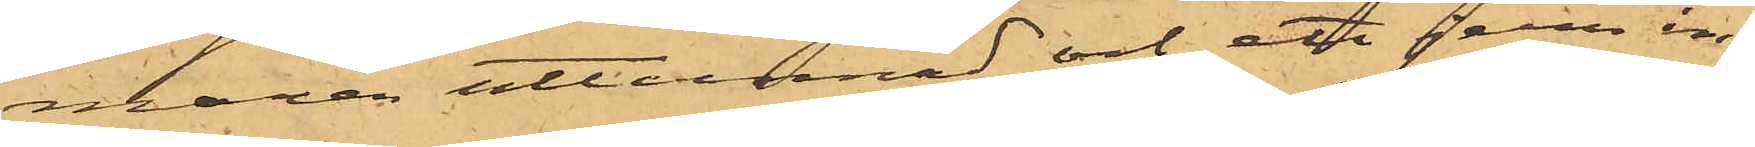maren uttunnad och ett jern in¬
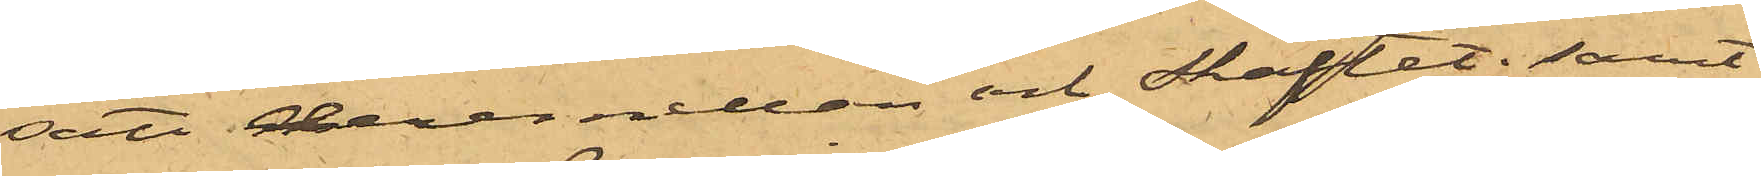satt deremellan och skaftet; samt
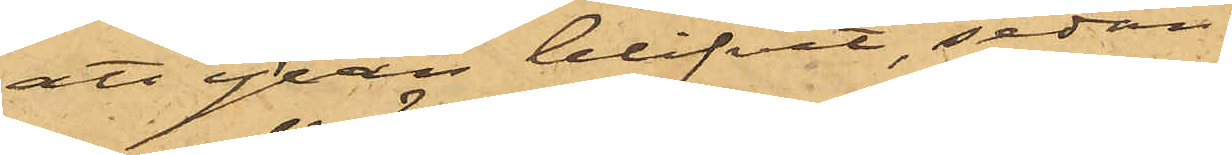att yxan blifvit, sedan
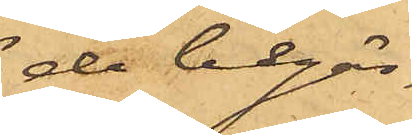de begär¬
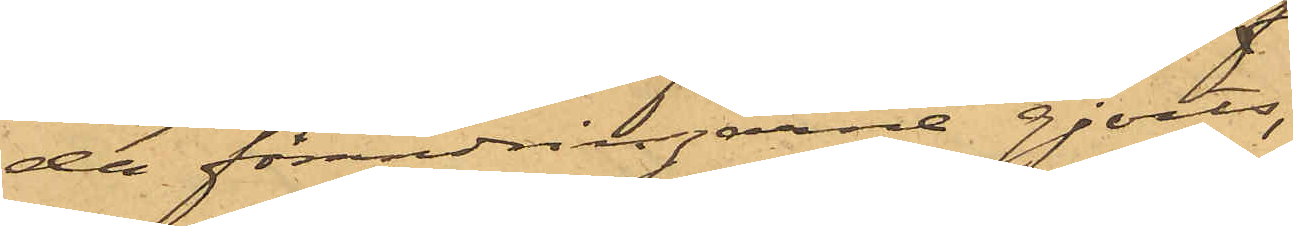da förändringarne gjorts,
